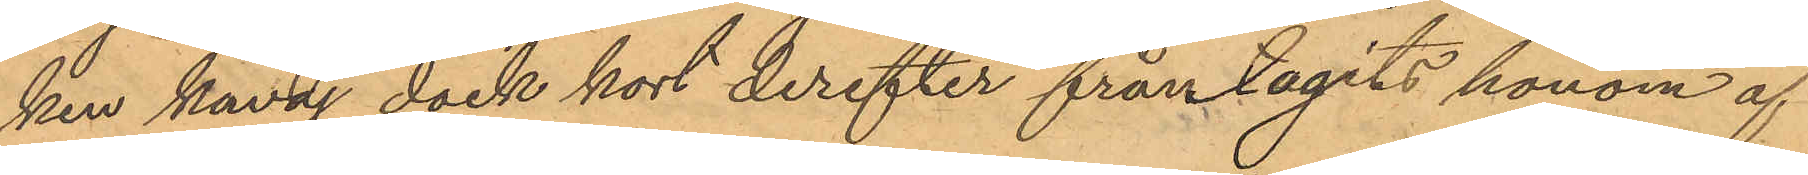ken kavaj dock kort derefter från tagits honom af
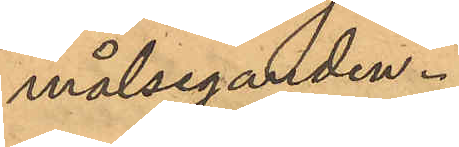målseganden.
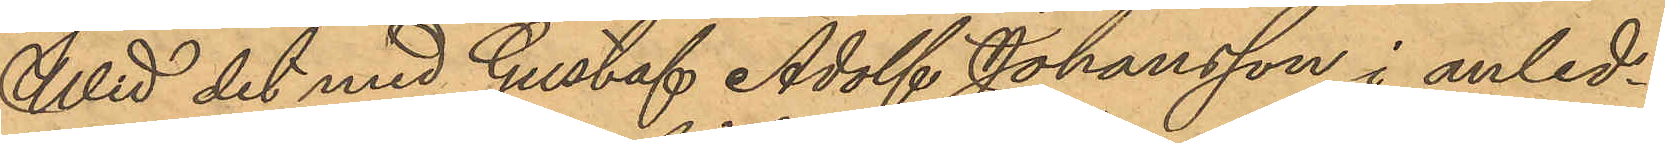Wid det med Gustaf Adolf Johansson i anled¬
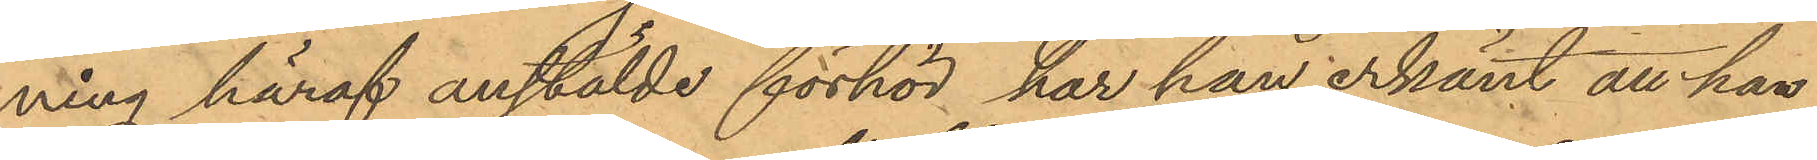ning häraf anstälde förhör har han erkänt att han
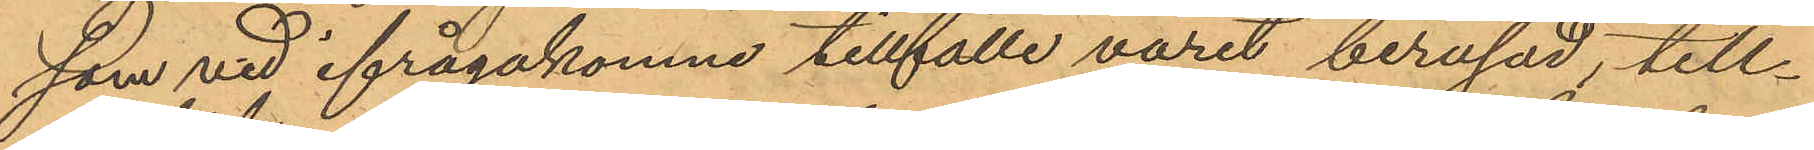som vid ifrågakomne tillfälle varit berusad, till¬
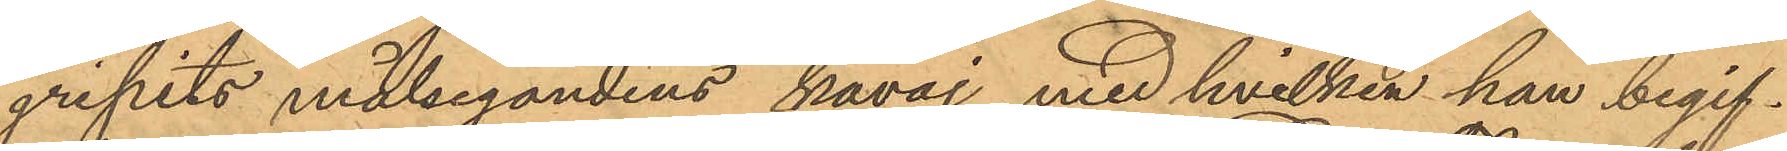gripits målsegandens kavaj med hvilken han begif¬
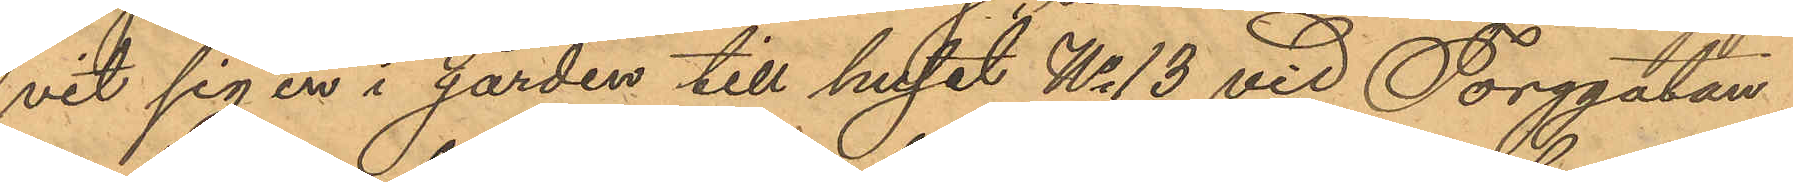vit sig en i gården till huset No 13 vid Torggatan
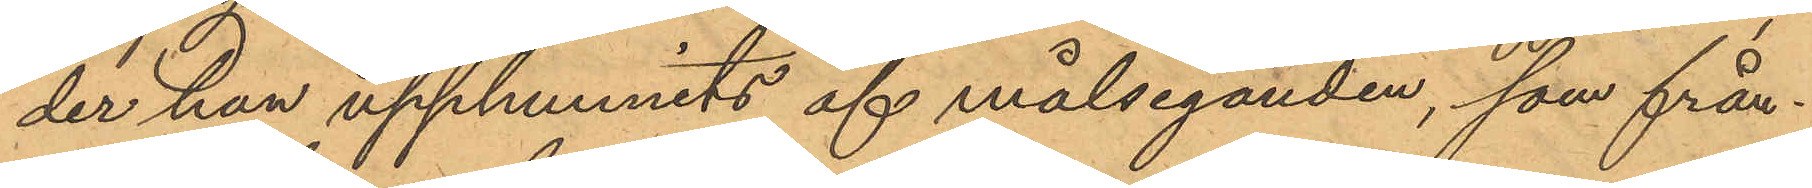der han upphunnits af målseganden, som från¬
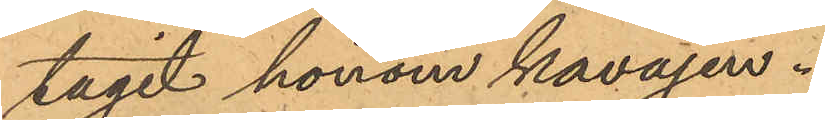tagit honom kavajen.
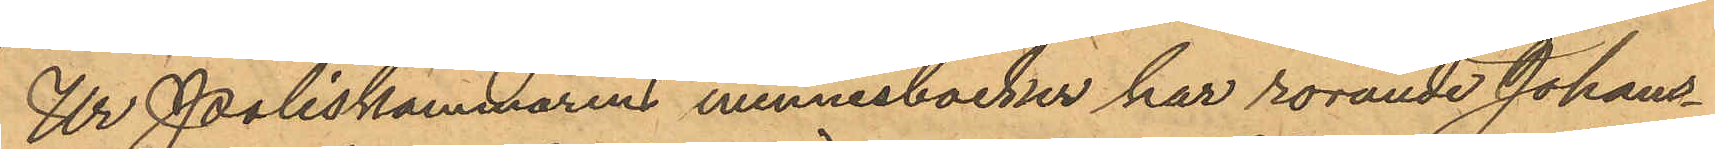Ur Poliskammarens minnesböcker har rörande Johans¬
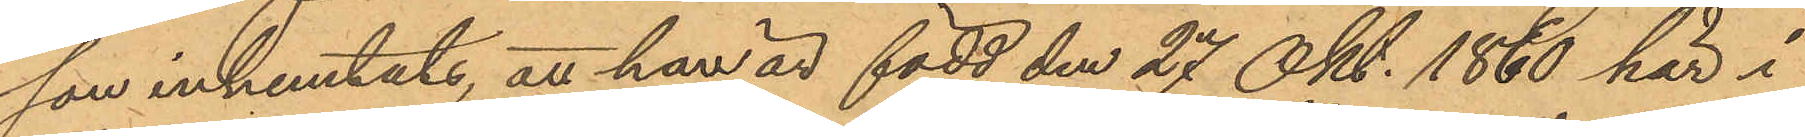son inhemtats, att han är född den 27 Okt. 1860 här i
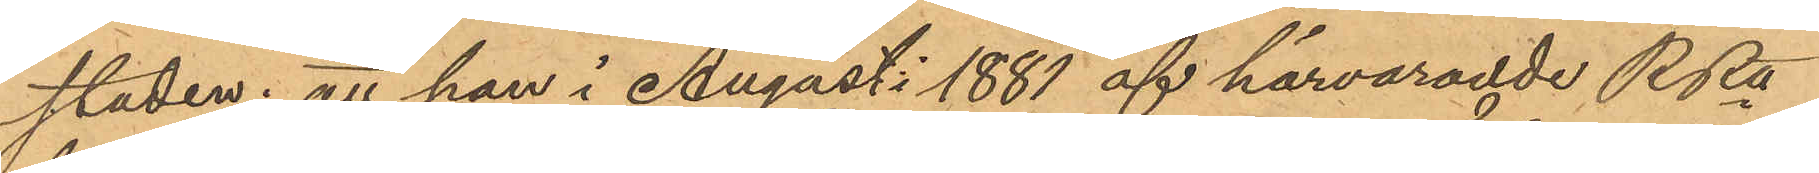staden; att han i Augusti 1881 af härvarande Rätt
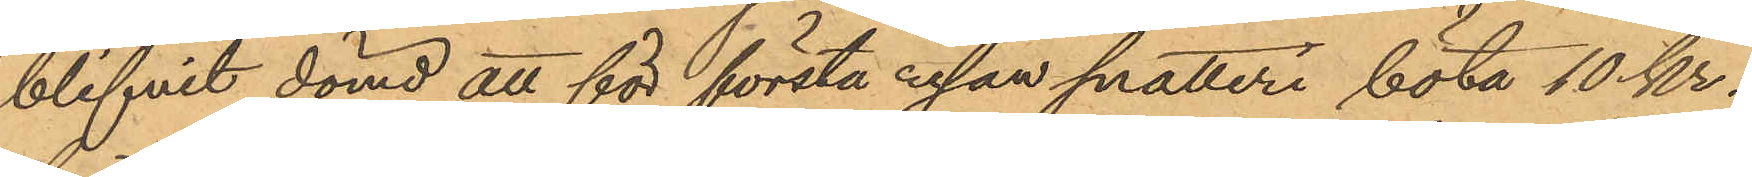blifvit dömd att för första resan snatteri böta 10 kr.
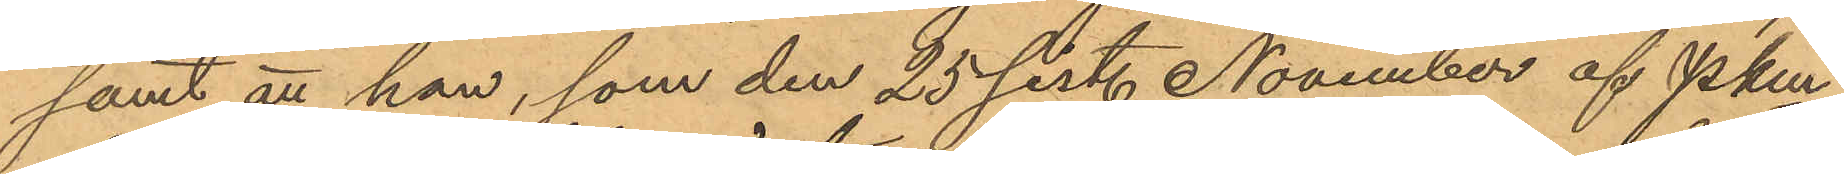samt att han, som den 25 sist. November af Pkm
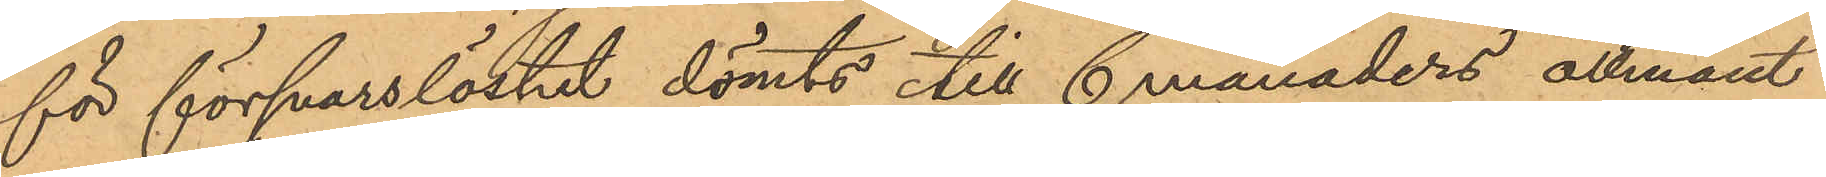för försvarslöshet dömts till 6 månaders allmänt
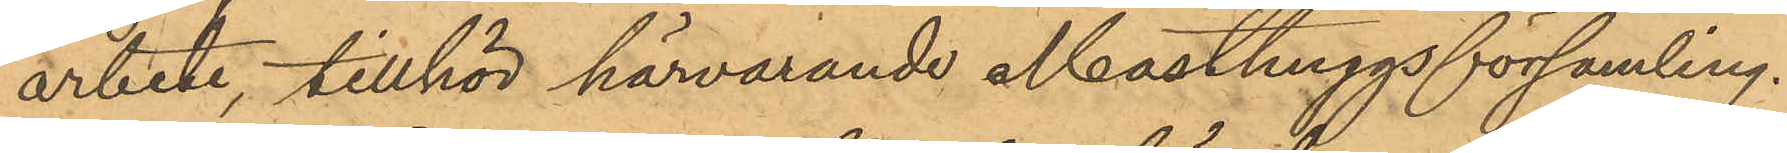arbete, tillhör härvarande Masthuggsförsamling.
